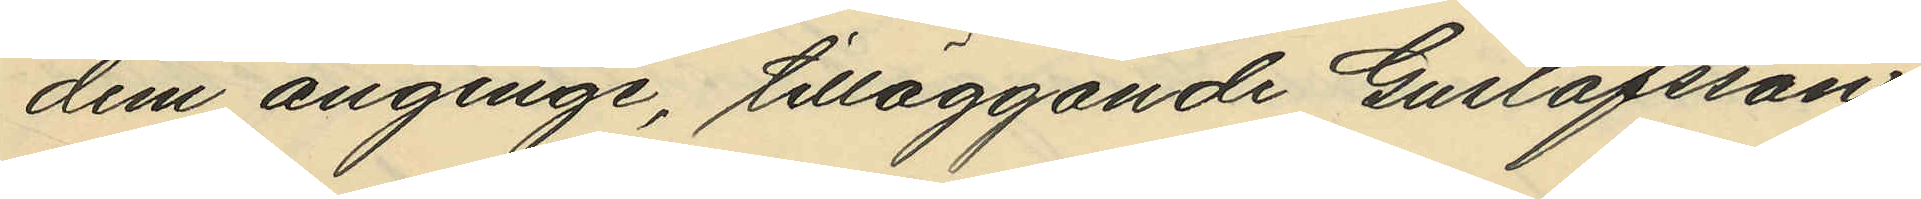dem anginge, tilläggande Gustafsson,
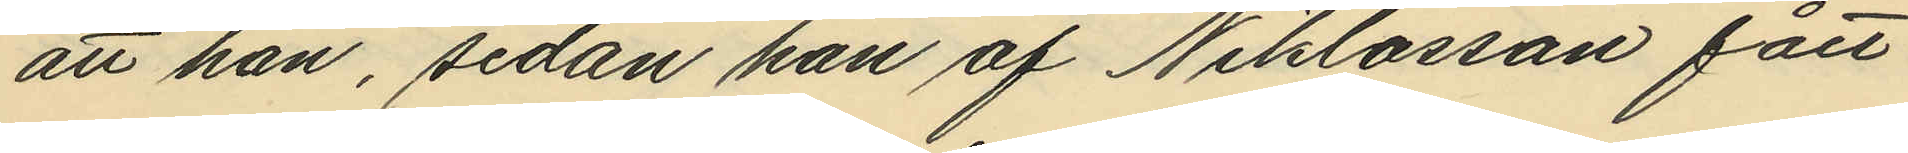att han, sedan han af Niklasson fått
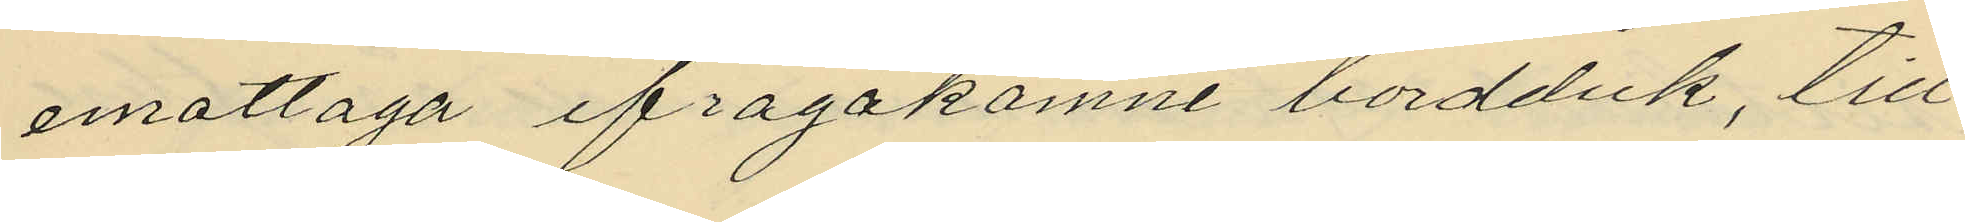emottaga ifrågakomne bordduk, till
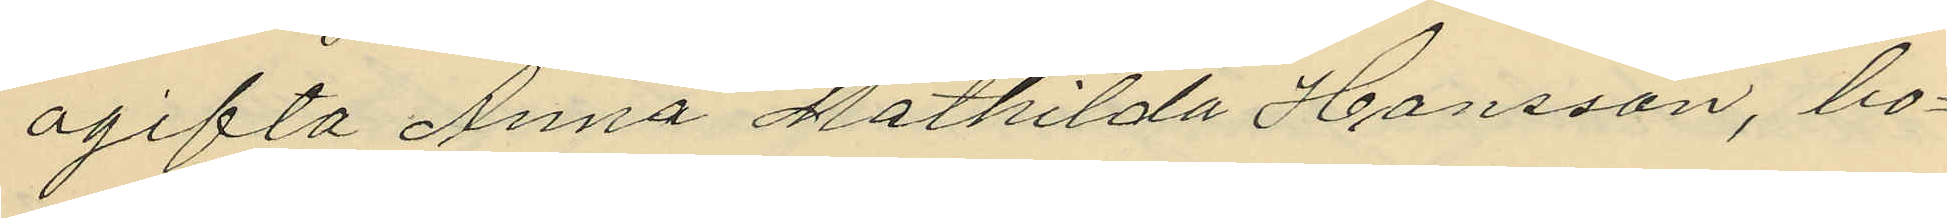ogifta Anna Mathilda Hansson, bo¬
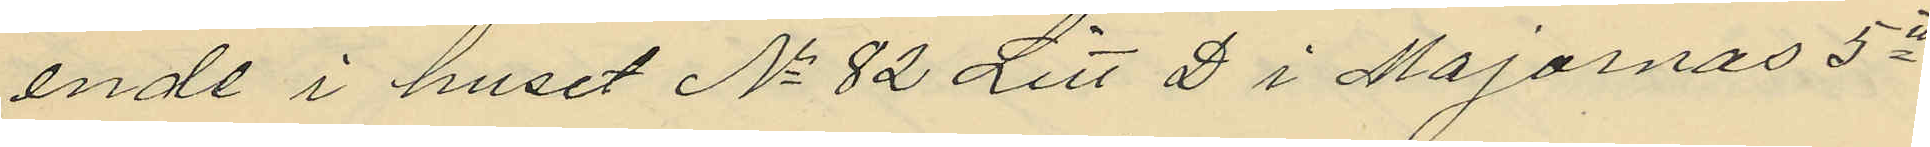ande i huset No 82 Litt D i Majornas 5te
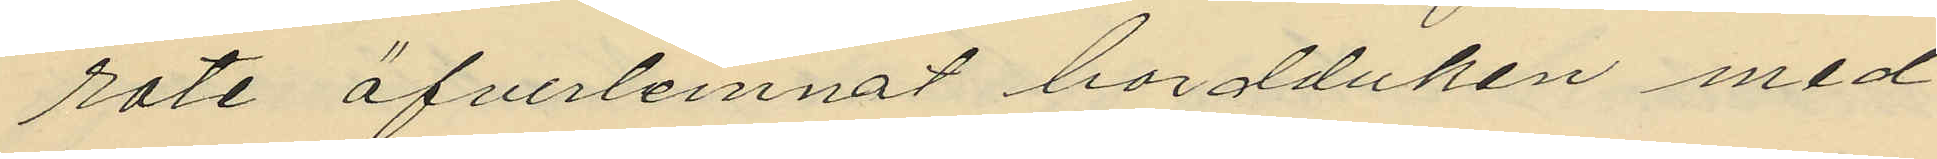rote öfverlemnat bordduken med
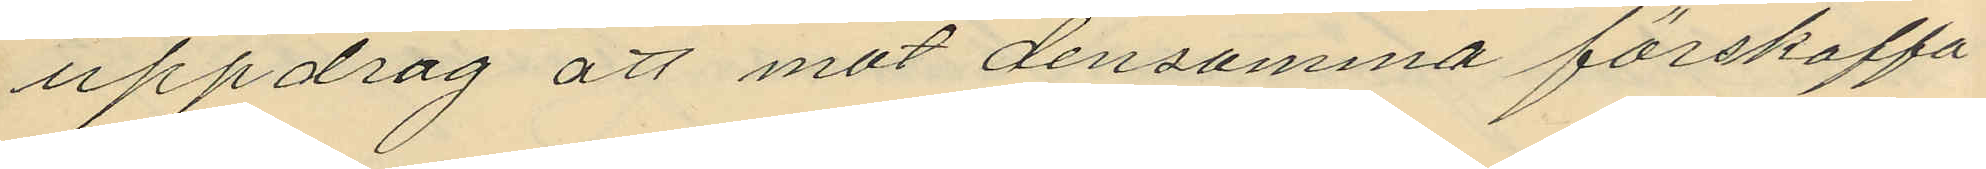uppdrag att mot densamma förskaffa
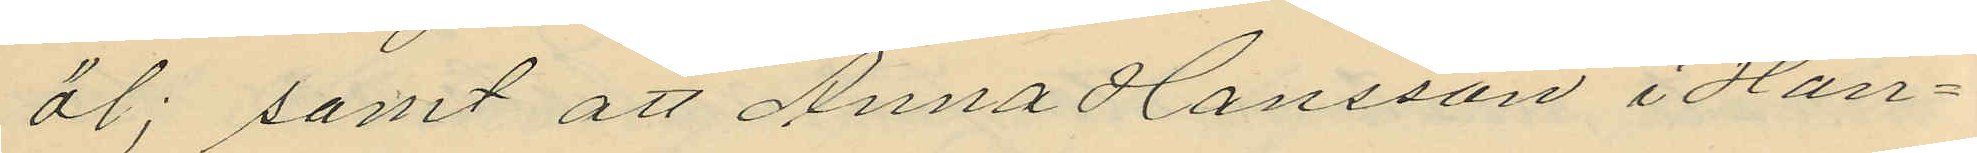öl; samt att Anna Hansson i Han¬
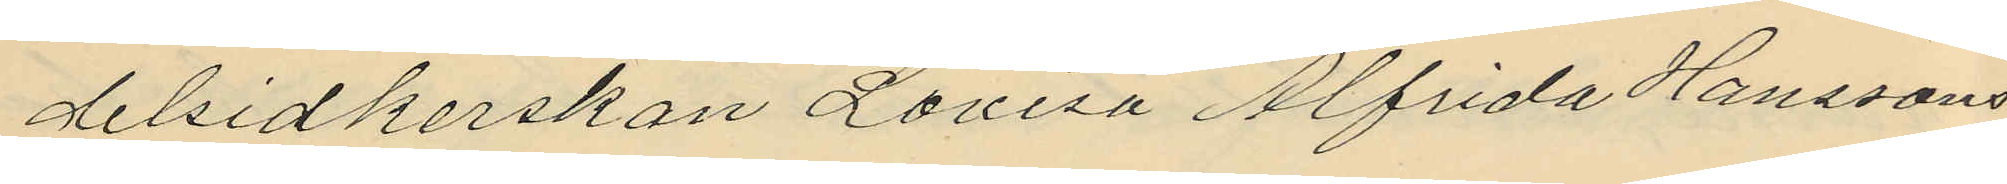delsidkerskan Lovisa Alfrida Hanssons
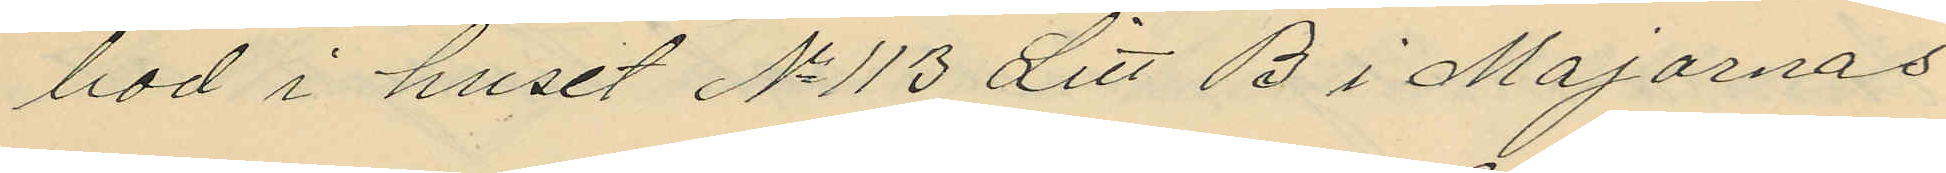bod i huset No 113 Litt B i Majornas
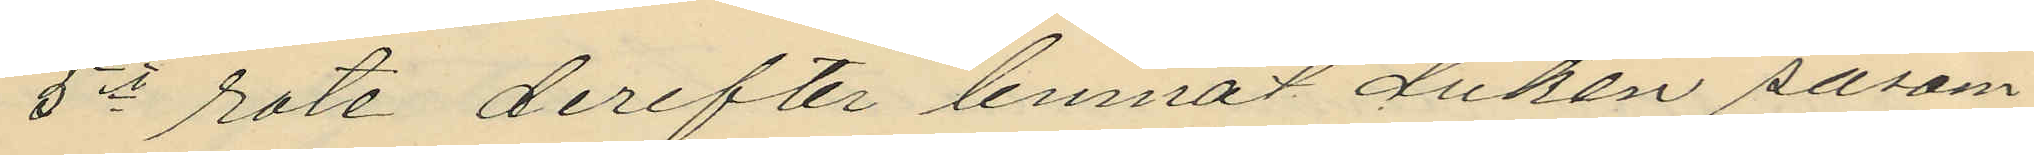5te rote derefter lemnat duken såsom
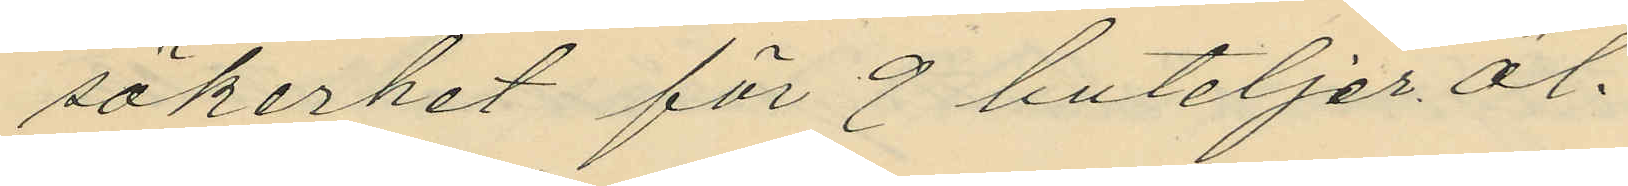säkerhet för 9 buteljer öl.
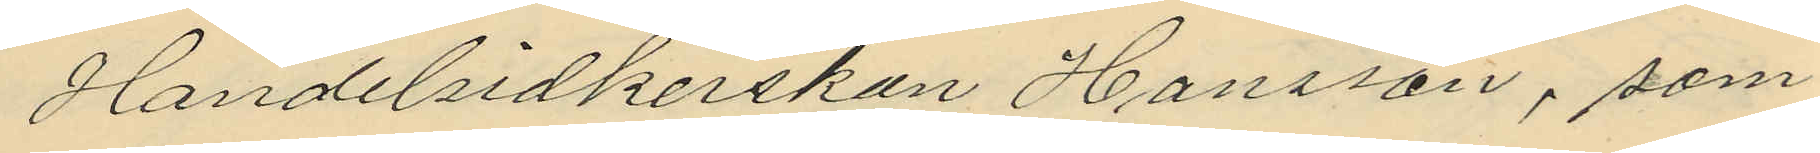Handelsidkerskan Hansson, som
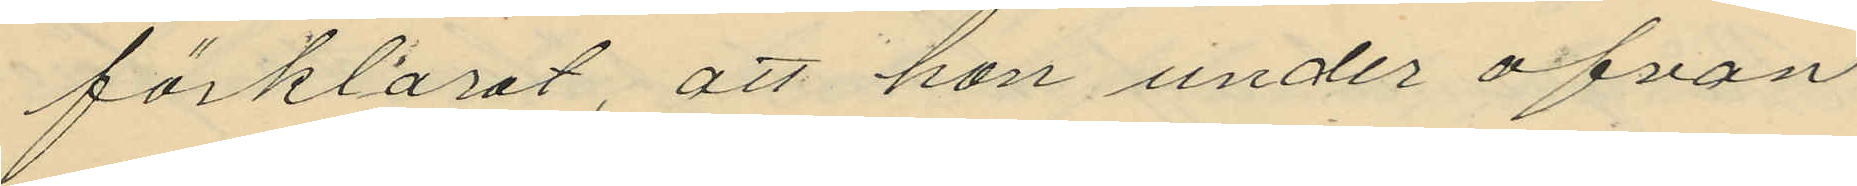förklarat, att hon under ofvan
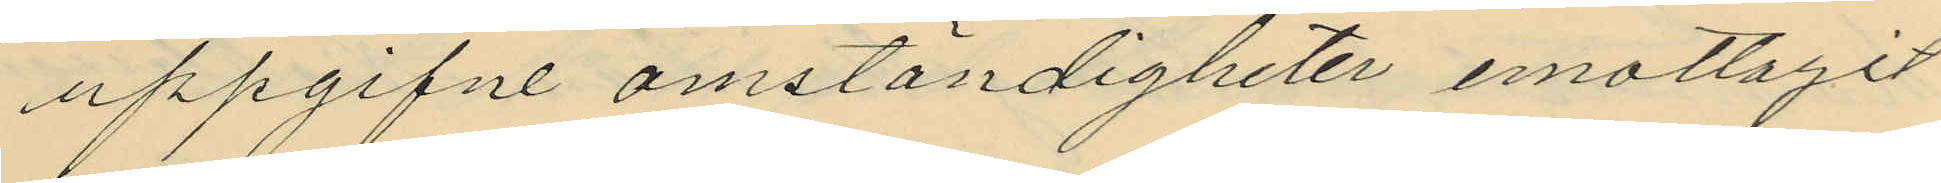uppgifne omständigheter emottagit
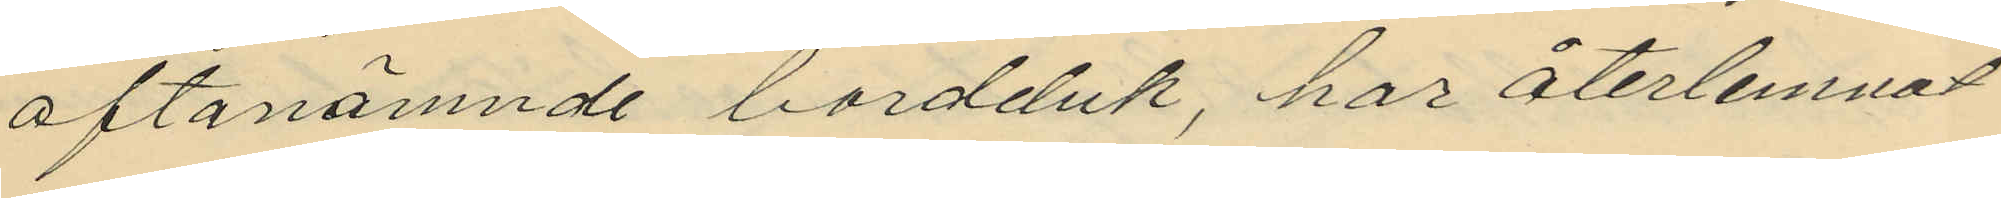oftanämnde bordduk, har återlemnat
